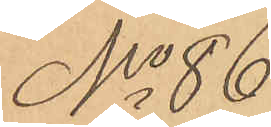No 86
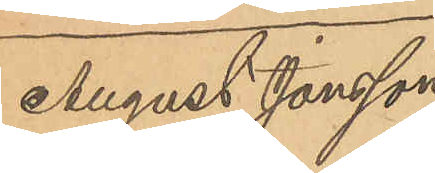August Jonsson
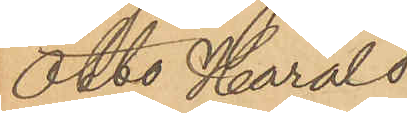Otto Harald
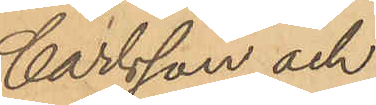Carlsson och
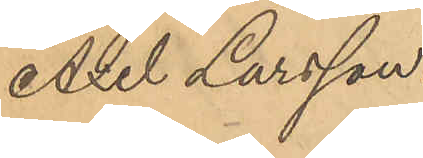Axel Larsson.
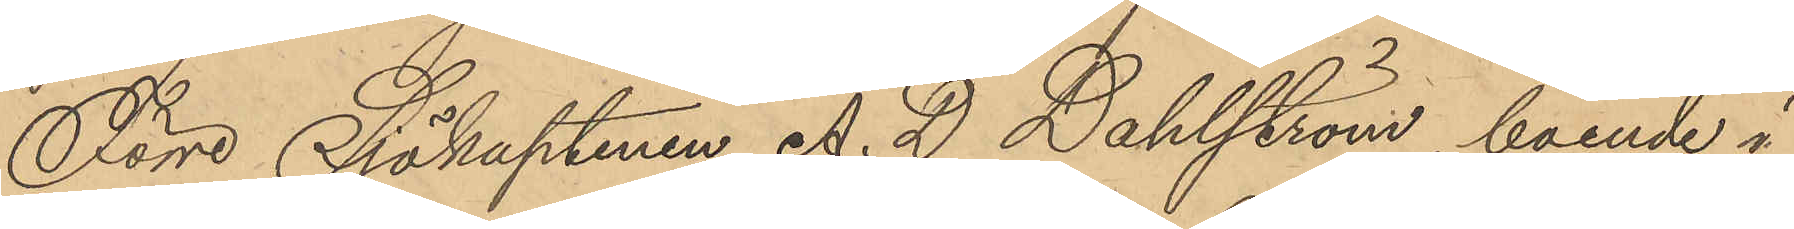Förre Sjökaptenen A. D. Dahlström, boende i
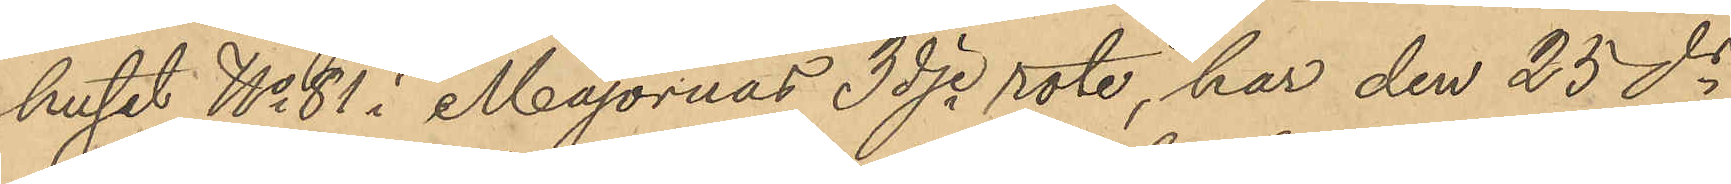huset No 81 i Majornas 3dje rote, har den 25 ds
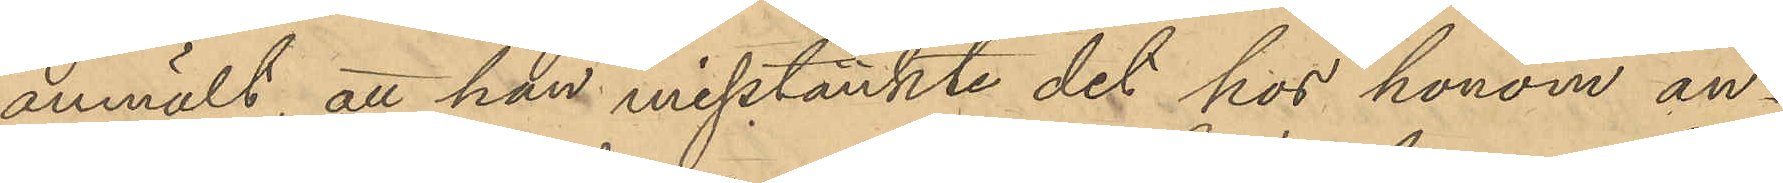anmält, att han misstänkte det hos honom an¬
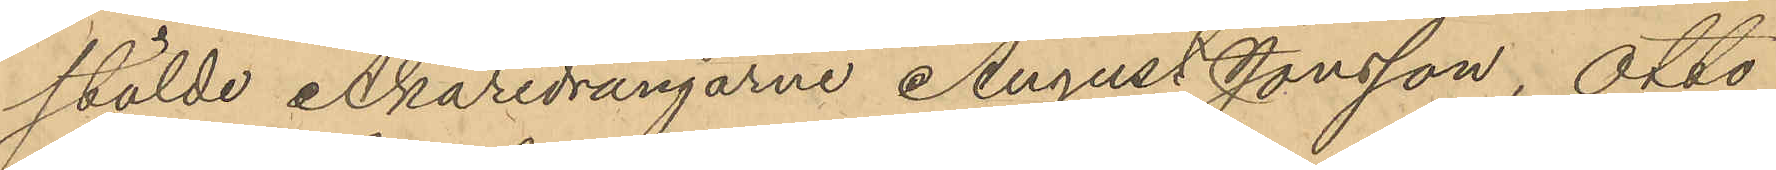stälde Åkaredrängarne August Jonsson, Otto
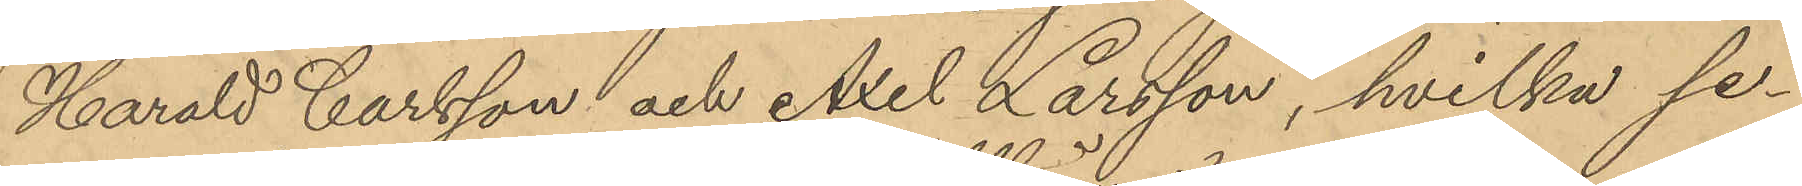Harald Carlsson och Axel Larsson, hvilka se¬
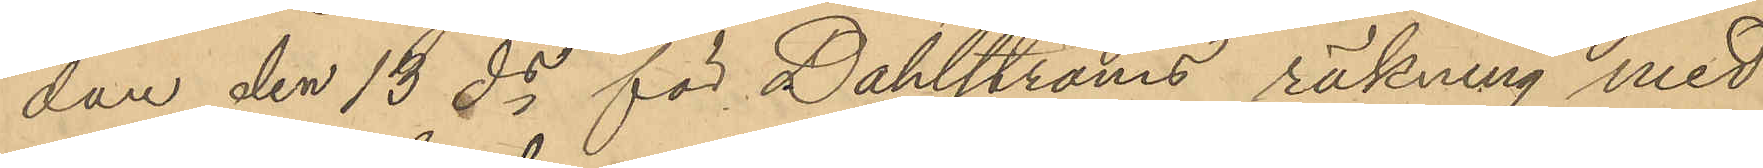dan den 13 ds för Dahlströms räkning med
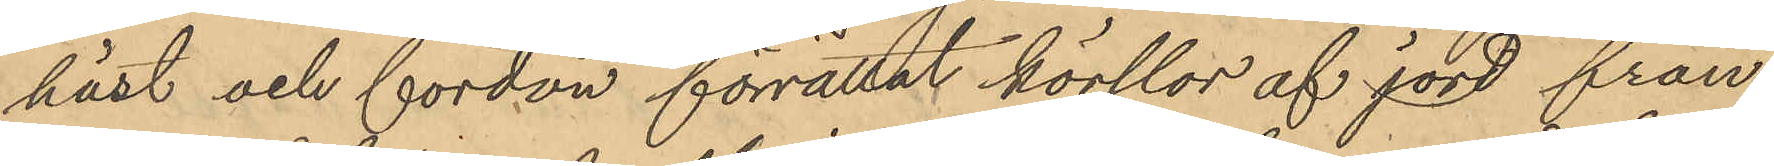häst och fordon förrättat körslor af jord från
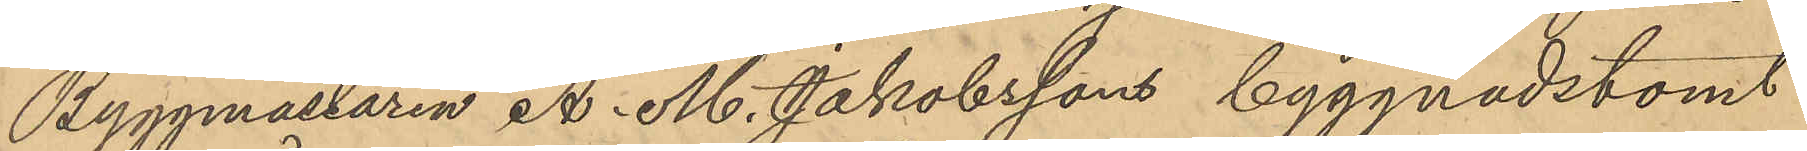Byggmästaren A. M. Jakobssons byggnadstomt
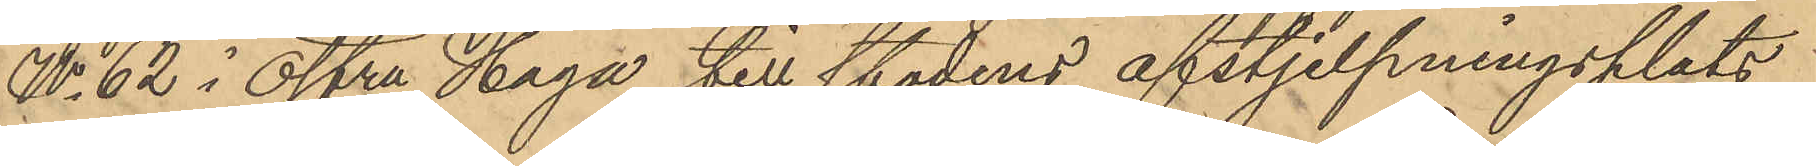No 62 i Östra Haga till stadens afstjelpningsplats
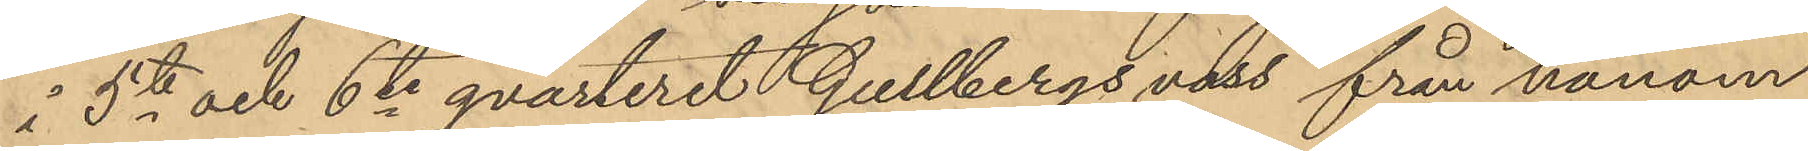å 5te och 6te qvarteret Gullbergs vass från honom
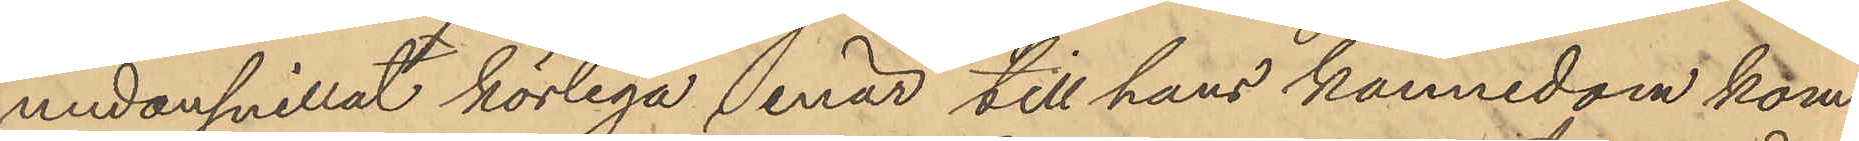undansnillat körlega, enär till hans kännedom kom¬
